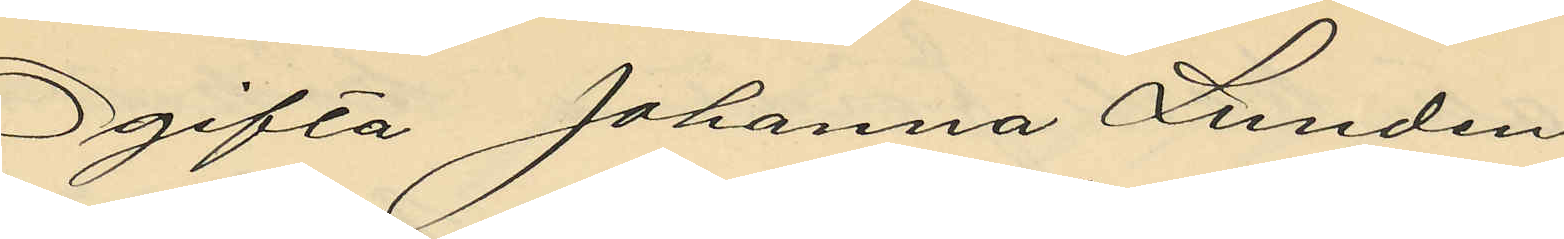Ogifta Johanna Lunden
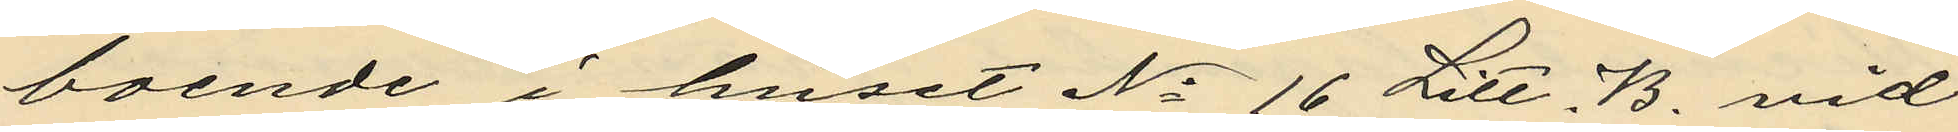boende i huset No 16 Litt. B. vid
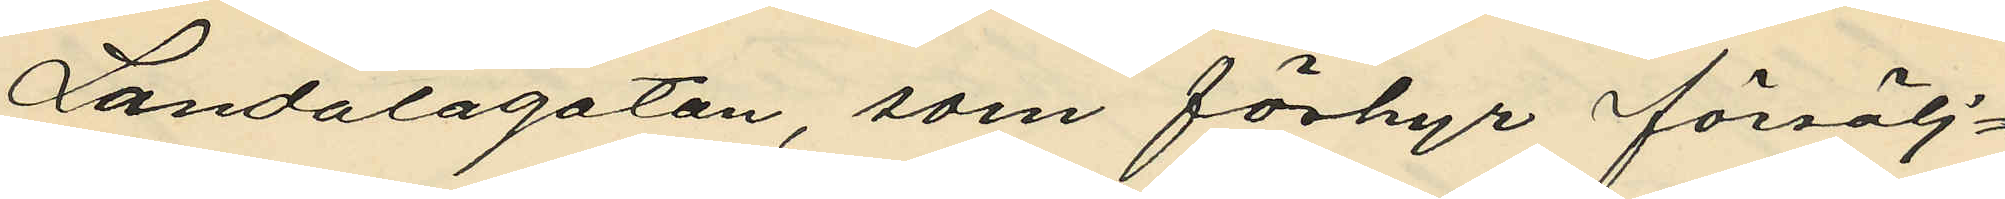Landalagatan, som förhyr försälj¬
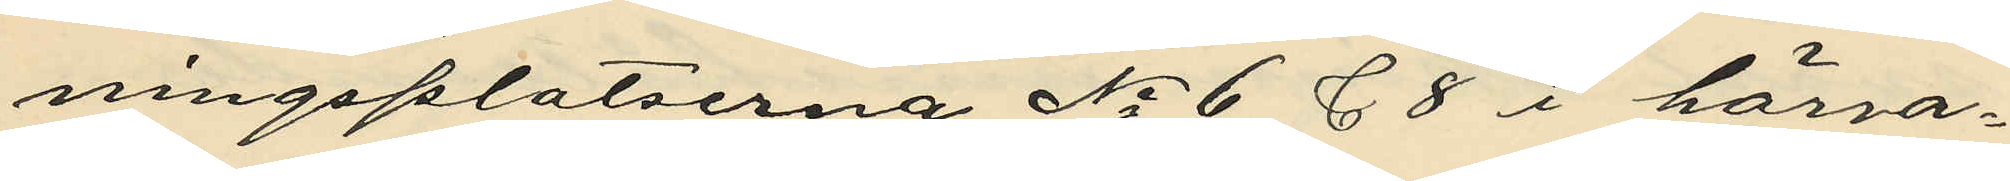ningsplatserna No 6 & 8 i härva¬
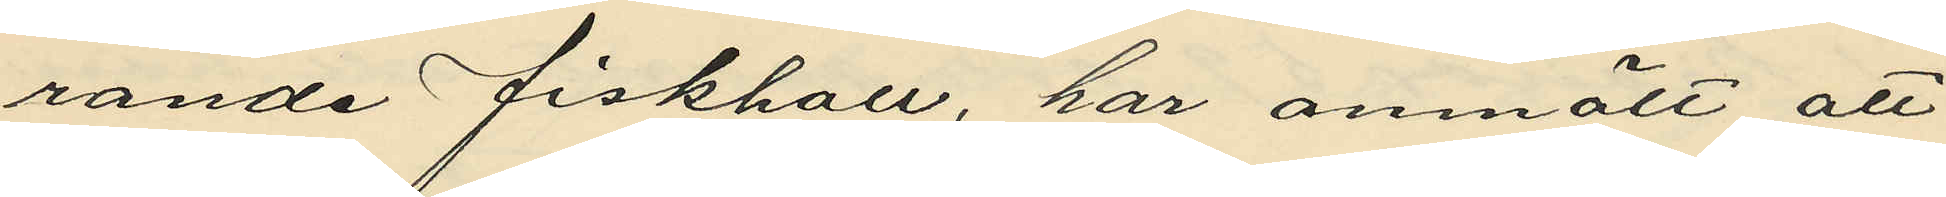rande fiskhall, har anmält att
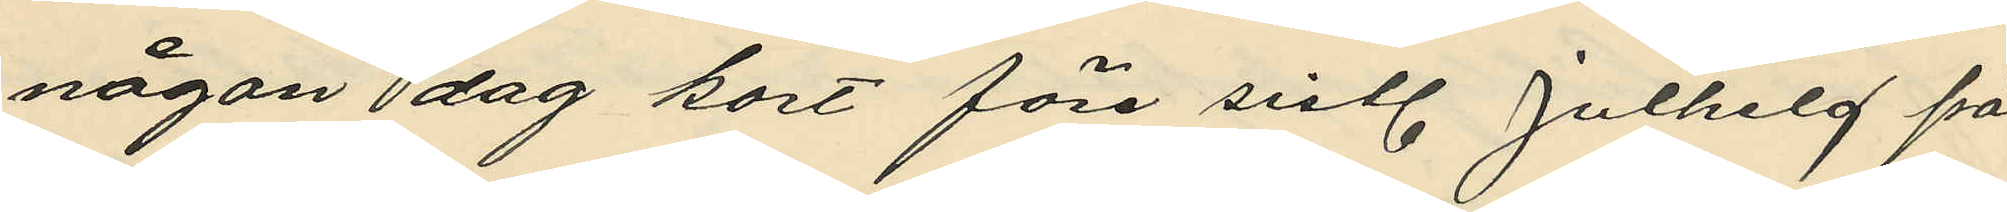någon dag kort före sistl. Julhelg på
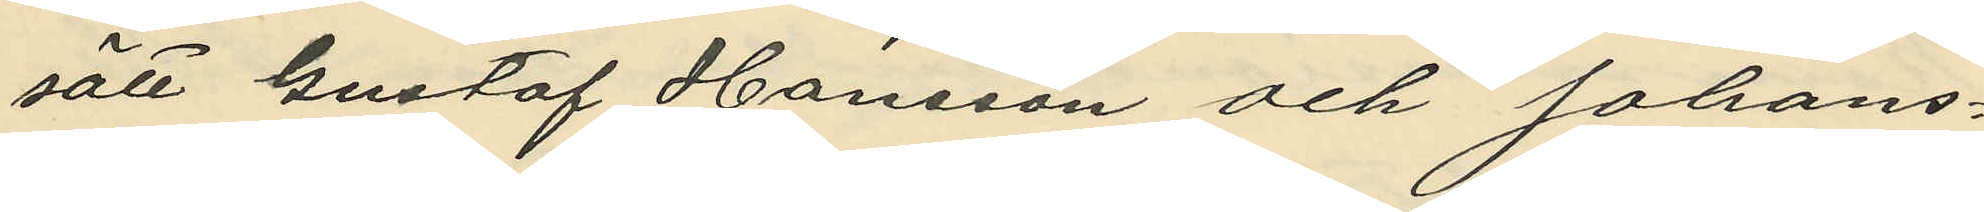sätt Gustaf Hansson och Johans¬
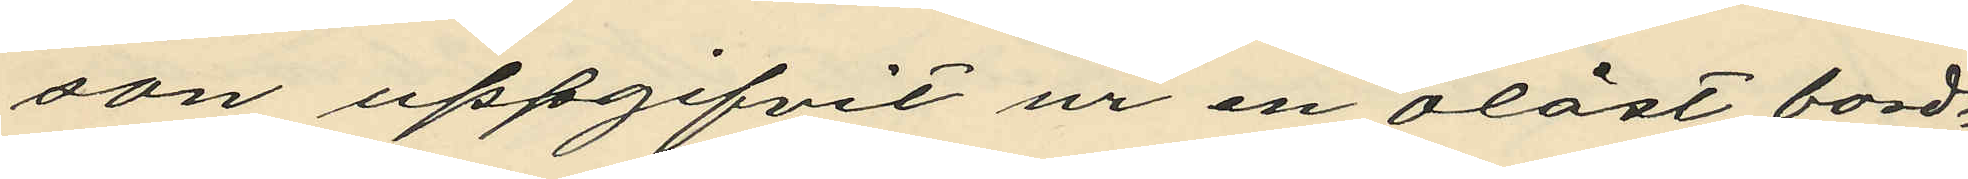son uppgifvit ur en olåst bord¬
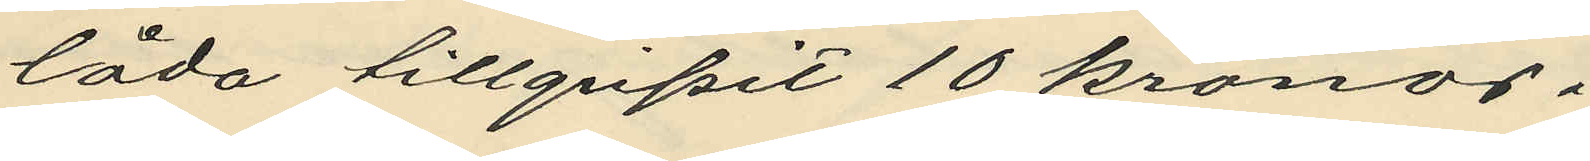låda tillgripit 10 kronor.
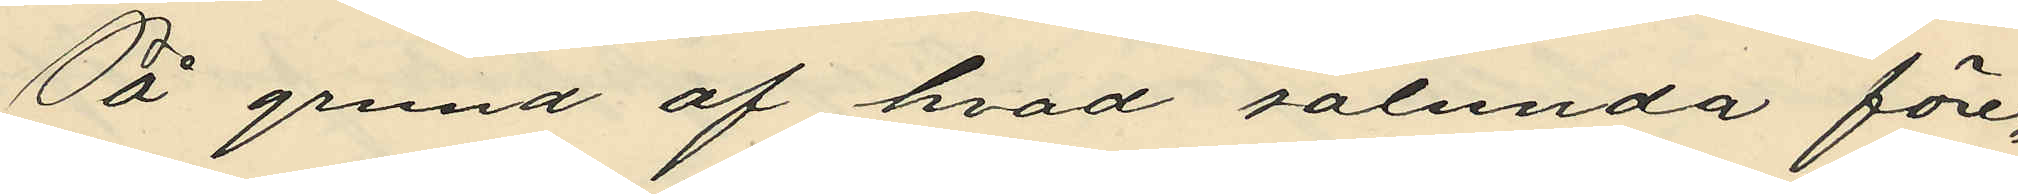På grund af hvad sålunda före¬
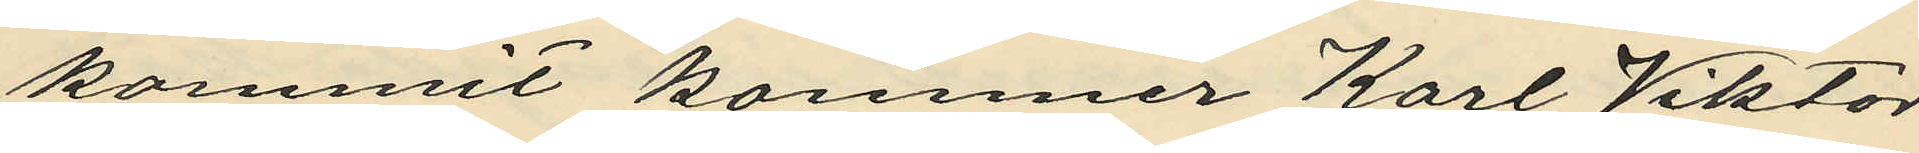kommit kommer Karl Viktor
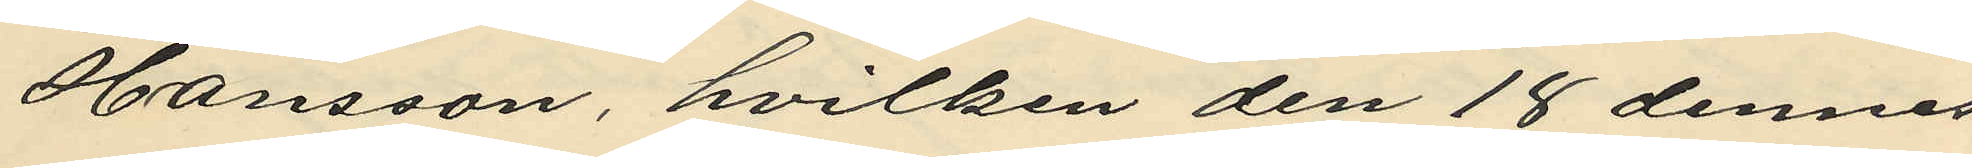Hansson, hvilken den 18 dennes
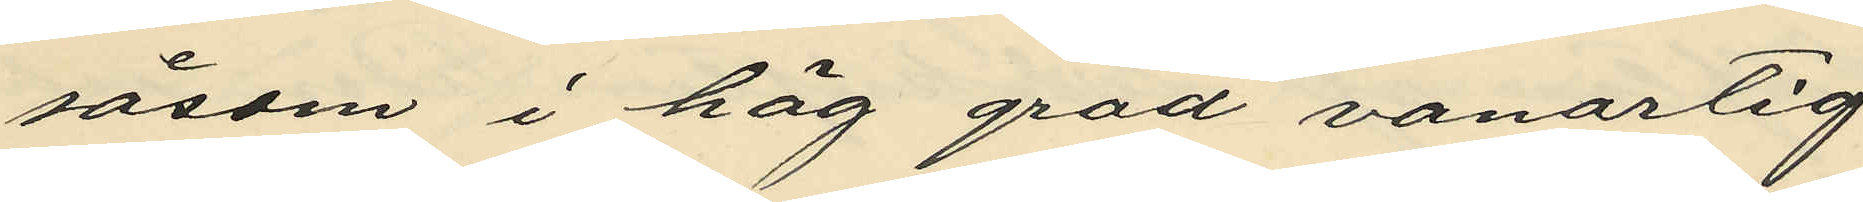såsom i hög grad vanartig
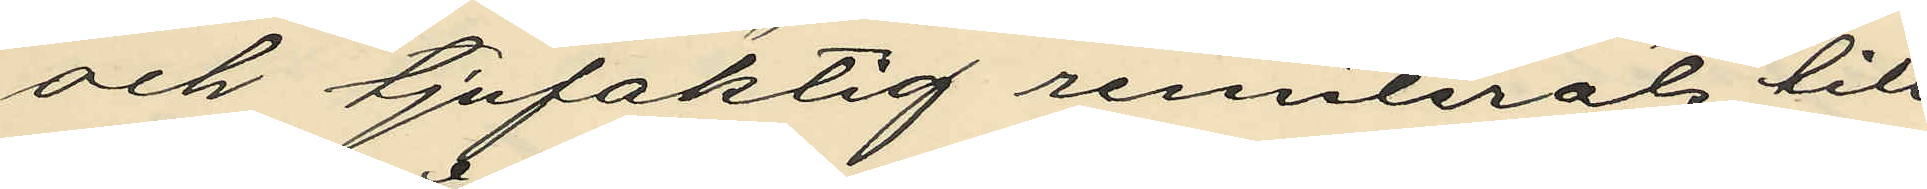och tjufaktig remiterats till
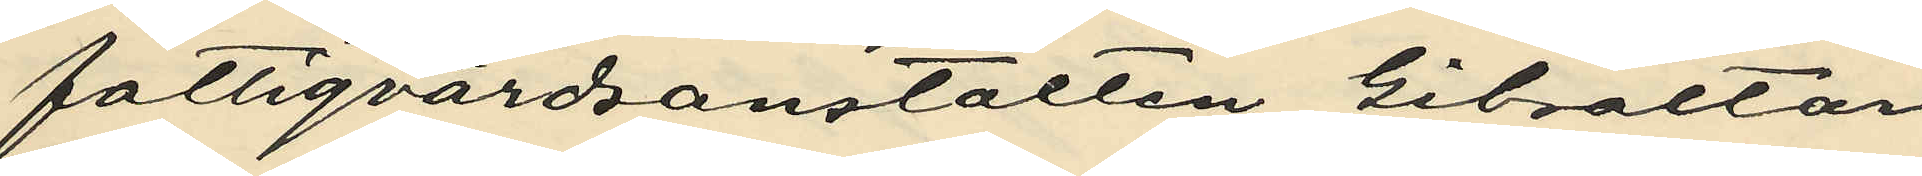fattigvårdsanstalten Gibraltar
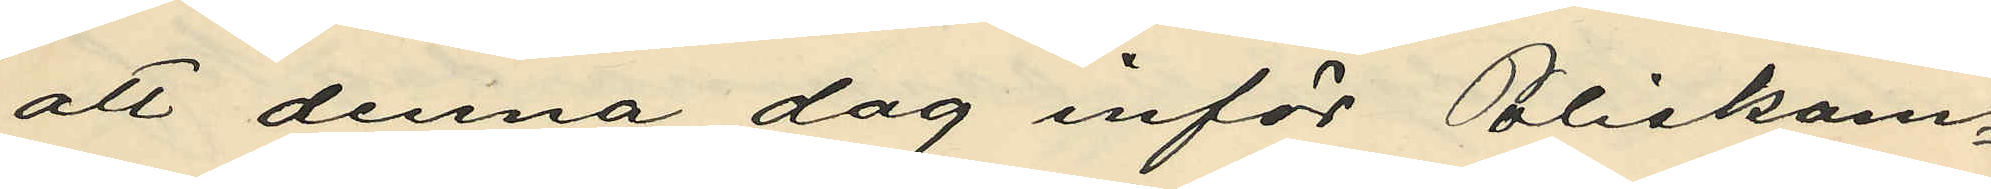att denna dag inför Poliskam¬
